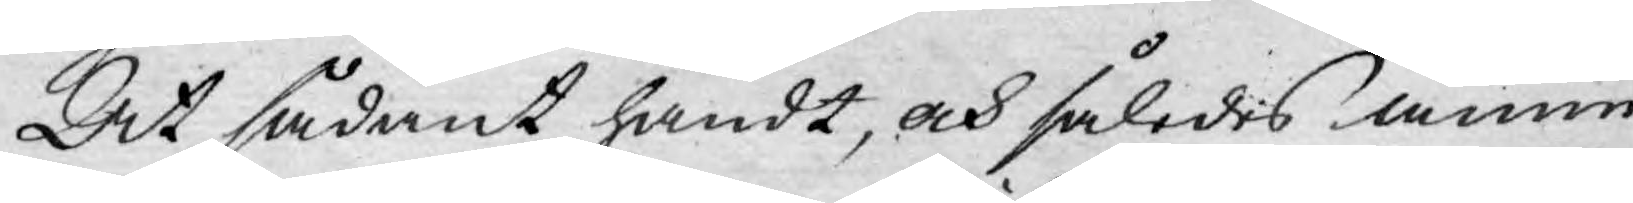At sådant händt, och således ännu
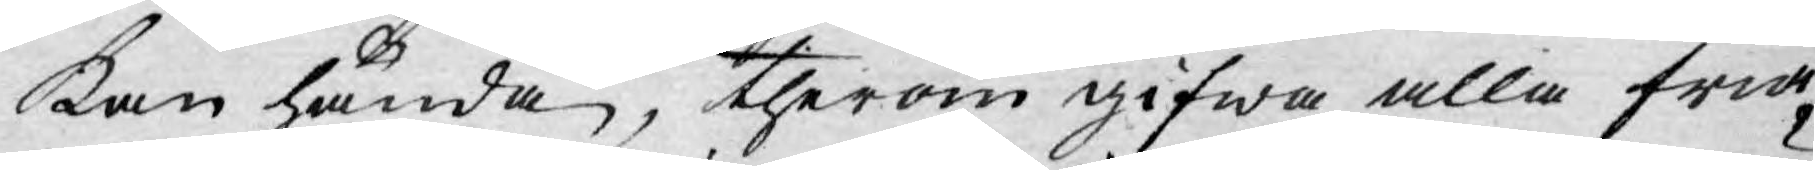kan hända, therom gifwa alla fria¬
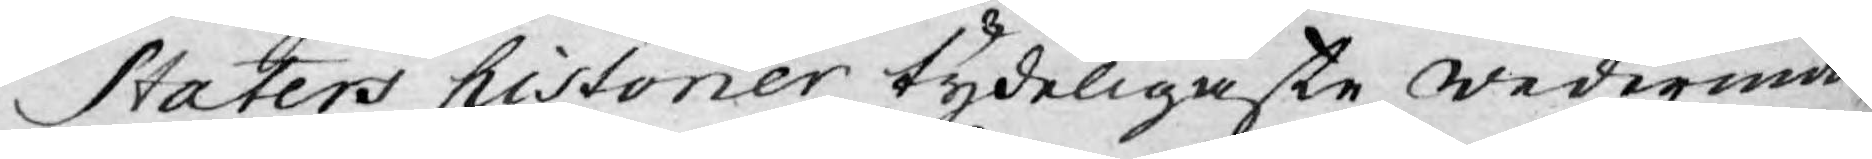Staters historier tydeligaste wedermä¬
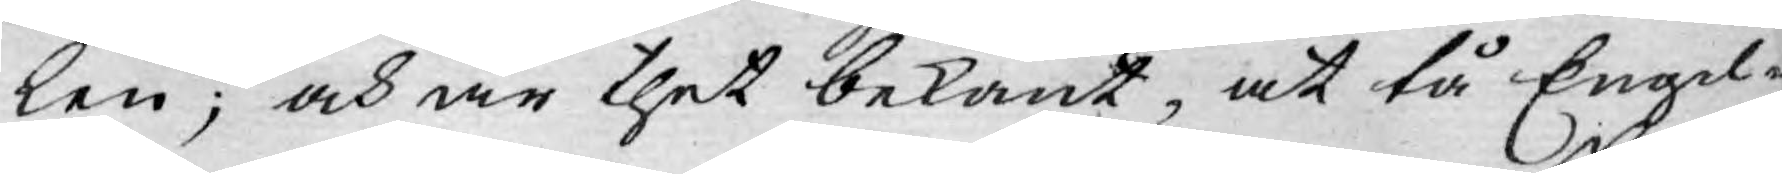len; och är thet bekant, at tå Engel¬
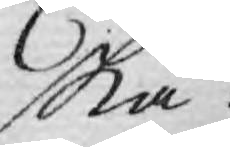ska
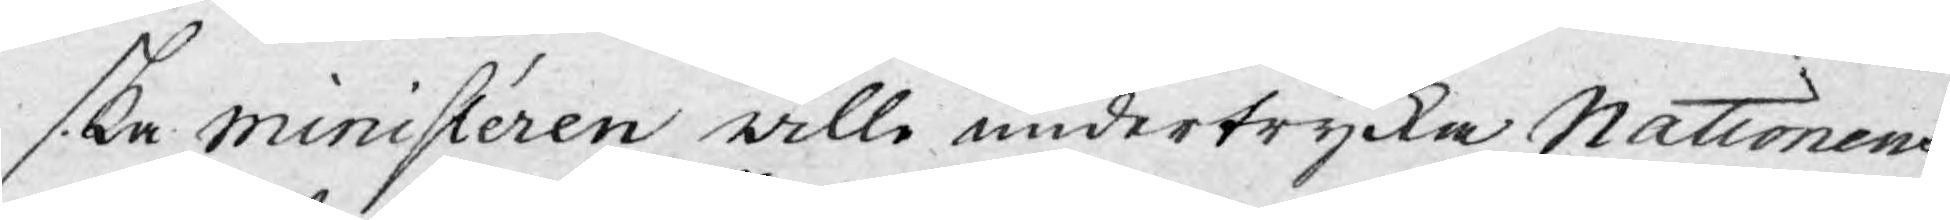ska ministéren wille undertrycka Nationens
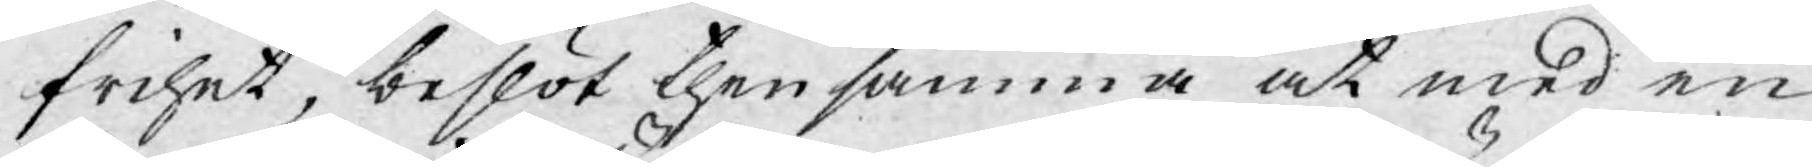frihet, beslöt then samma at med en
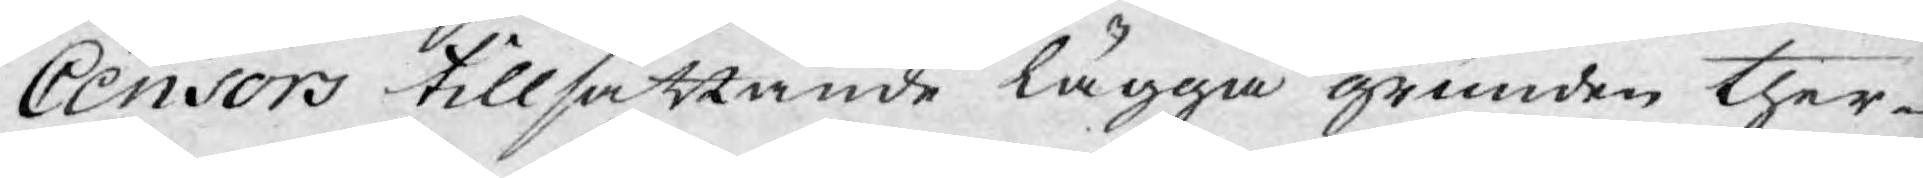Censors tillsättande lägga grunden ther¬
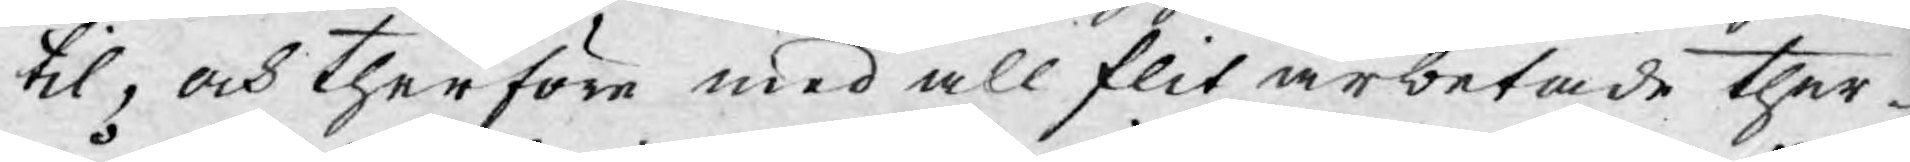til, och therföre med all flit arbetade ther¬
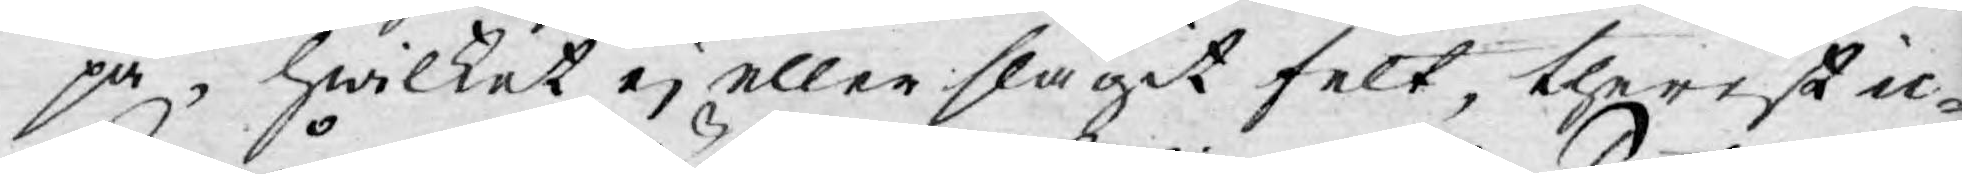på, hwilket ej eller slagit felt, therest ic¬
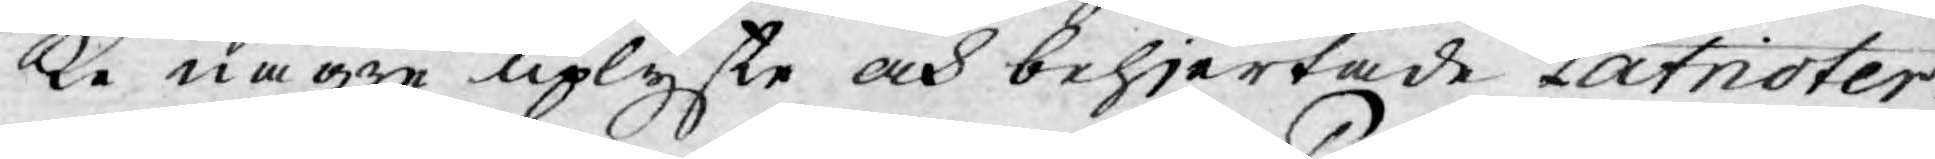ke någre uplyste och behjertade Patrioter
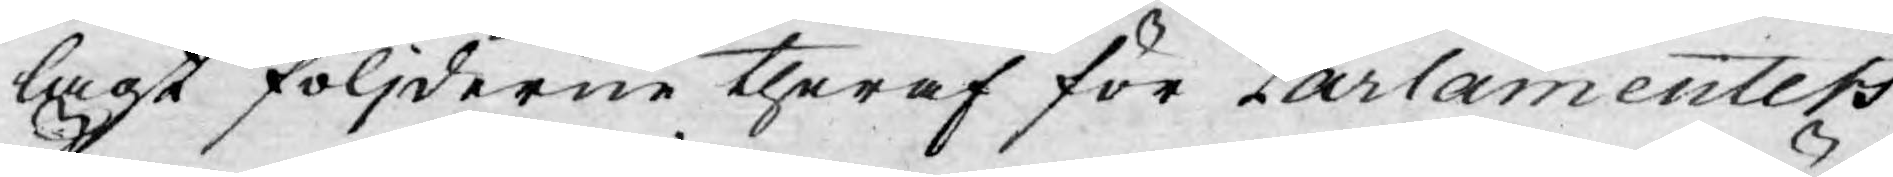lagt följderne theraf för Parlamentets
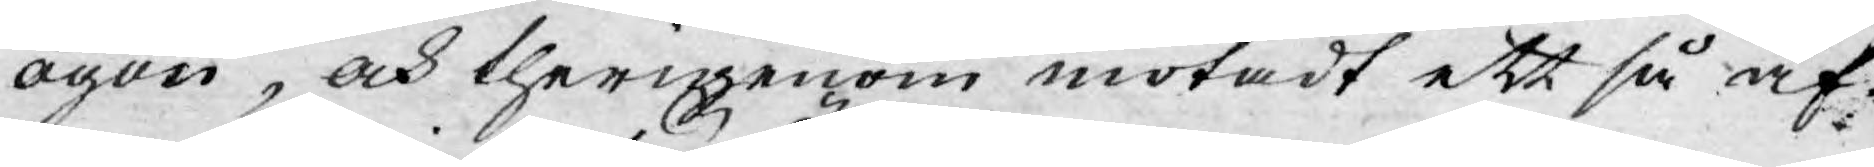ögon, och therigenom motadt ett så äf-
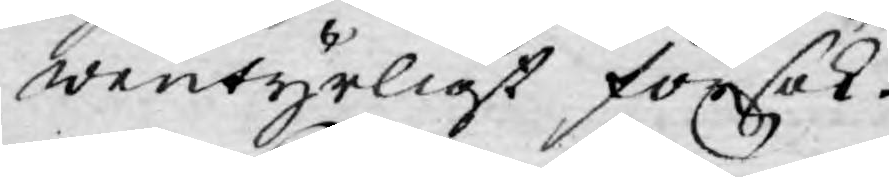wentyrligt försök.
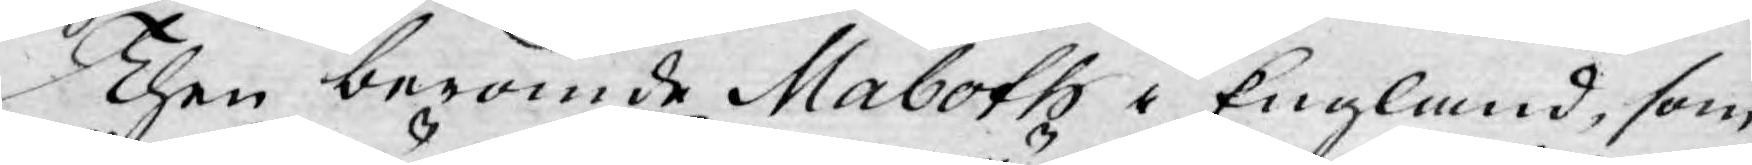Then berömde Maboth i England, som
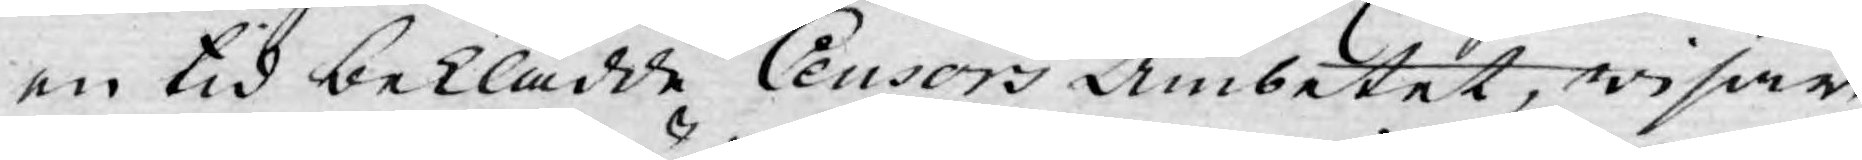en tid beklädde Censors Ämbetet, wisar
